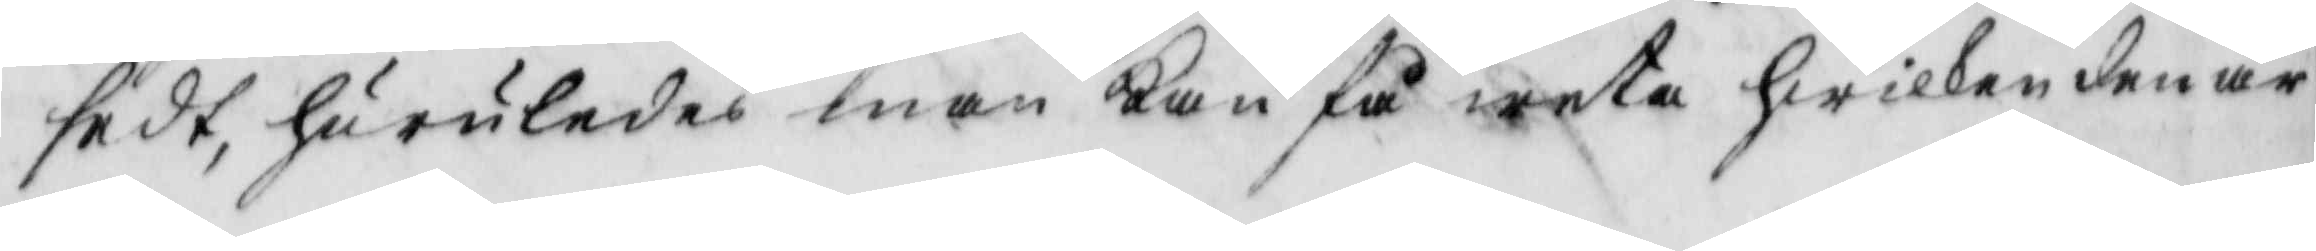sedt, huruledes man kan få weta hwilken den är
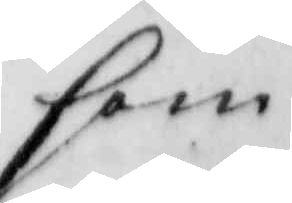som
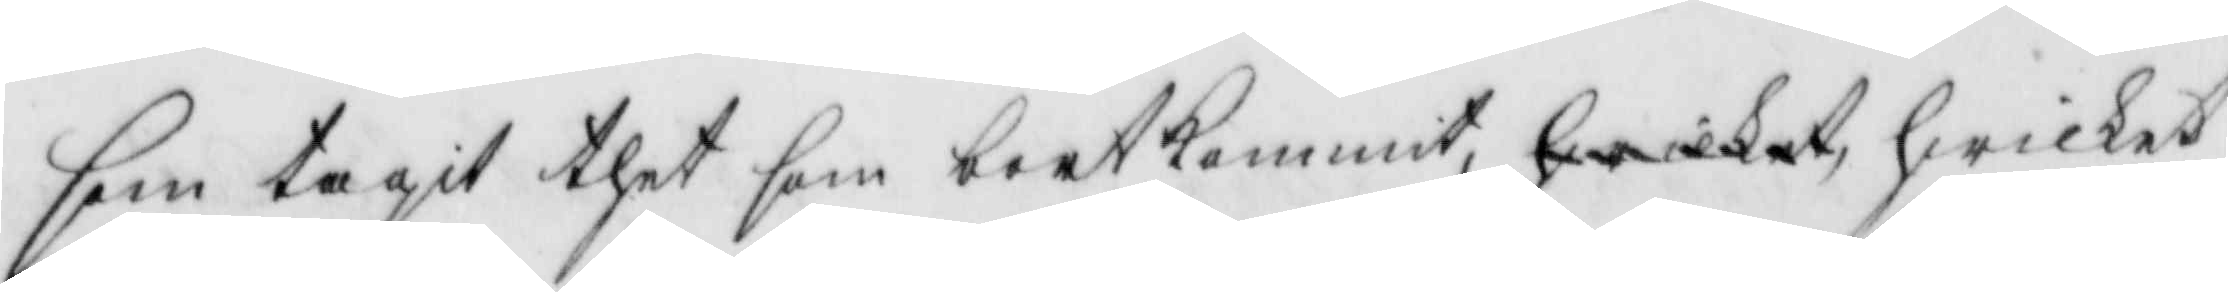som tagit thet som bortkommit, hwilket hwilket
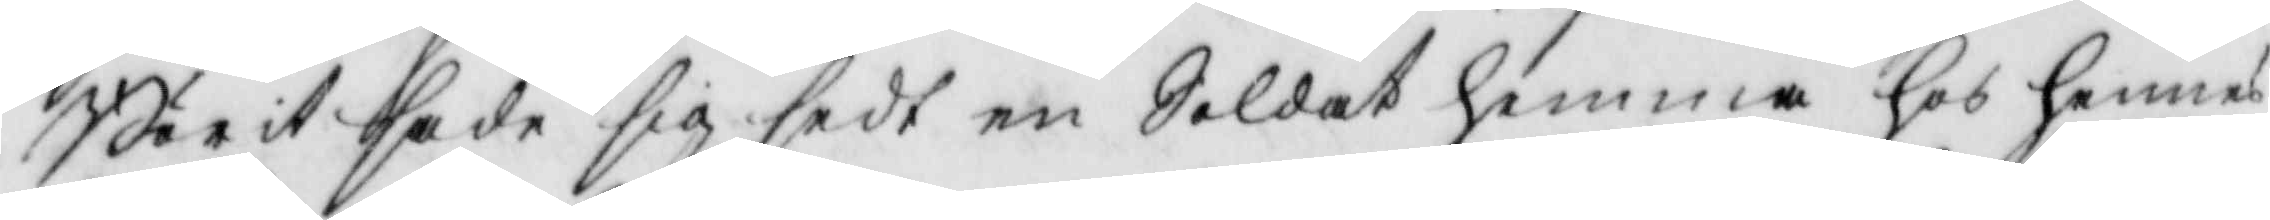Börit sade sig sedt en Soldat hemma hos hennes
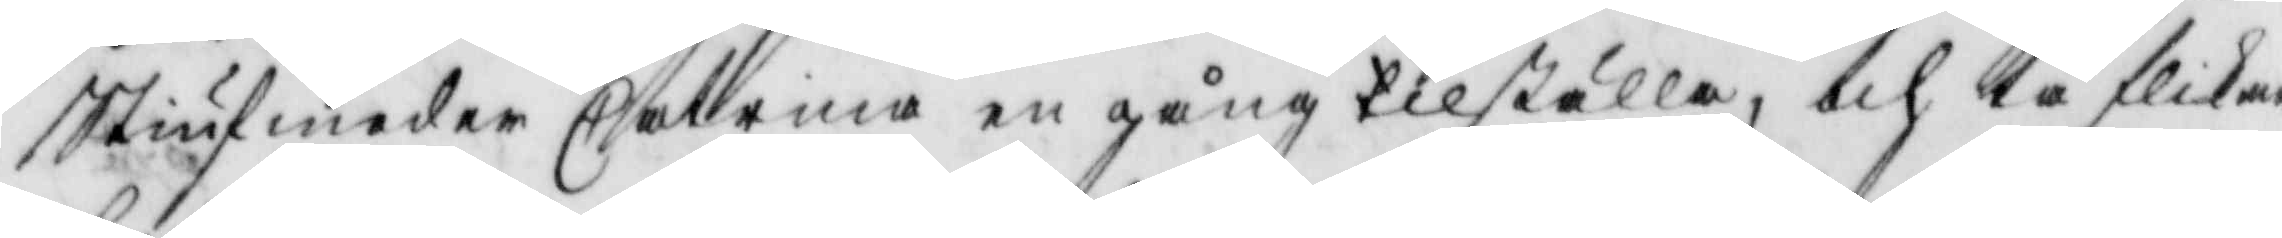Stiufmoder Catrina en gång tilställa, och tå flikan
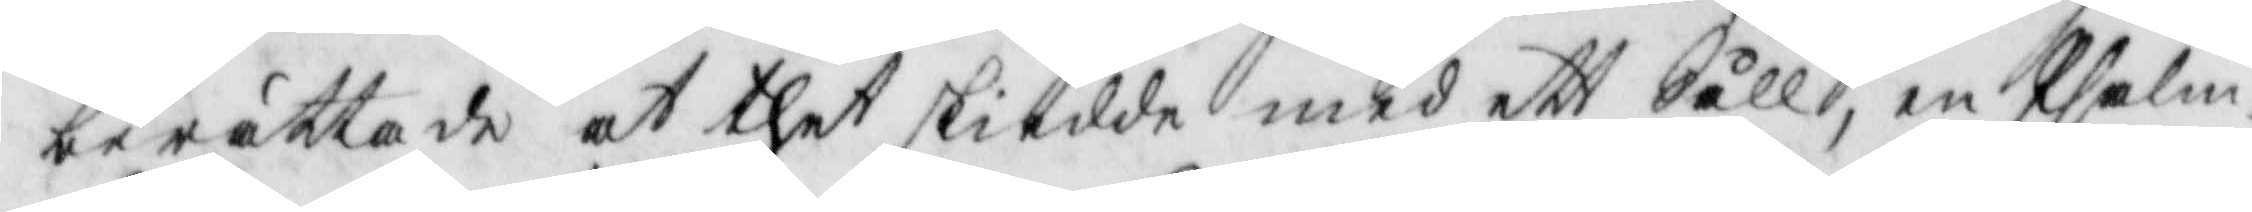berättade at thet skiedde med ett Såll, en Psalm¬
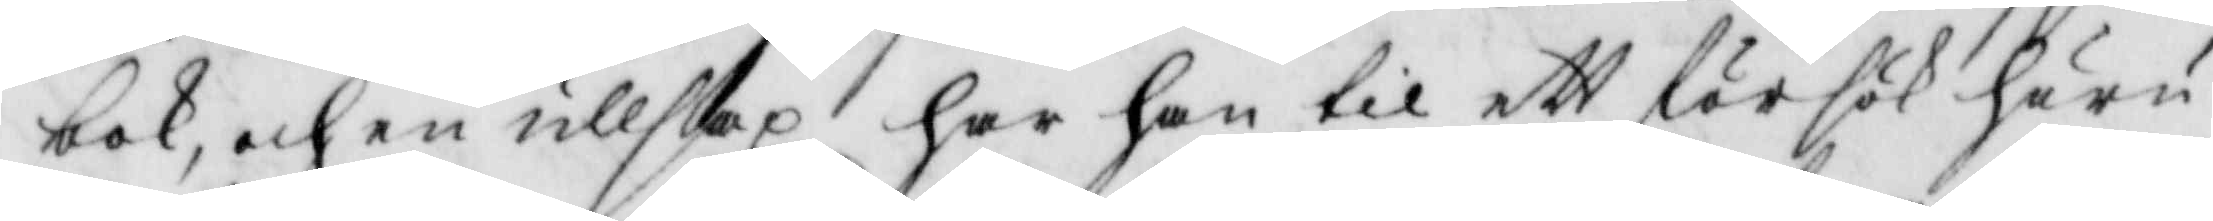bok, och en ullsax har han til ett försök huru
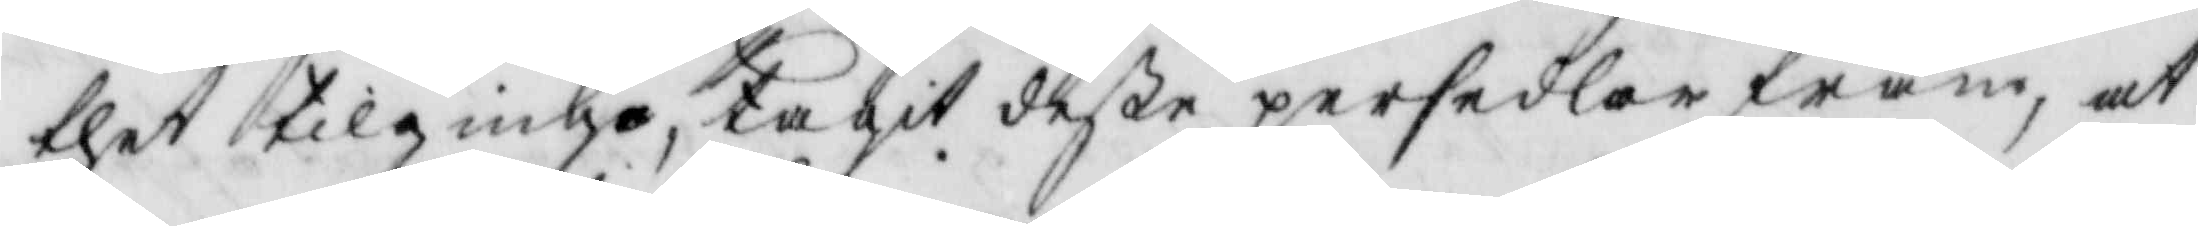thet tillgingo, tagit deße persedlar fram, at
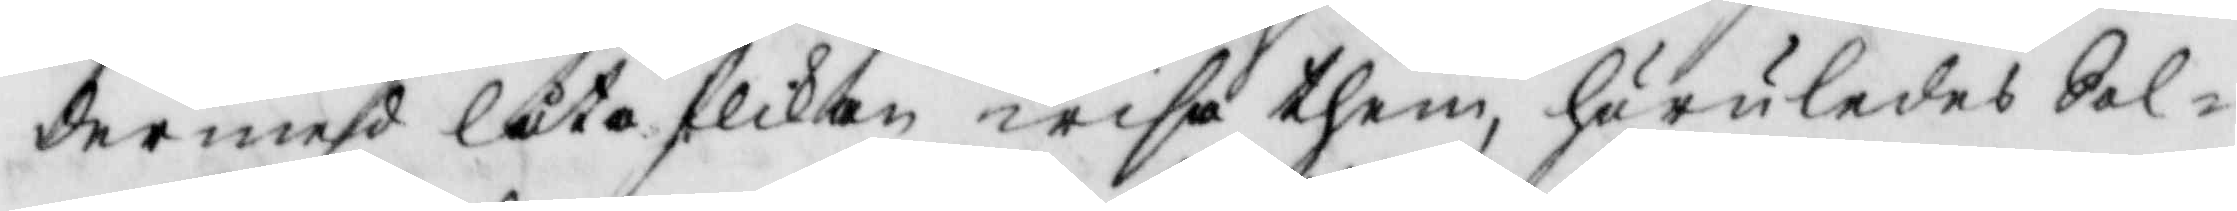dermed låta flikan wisa them, huruledes Sol¬
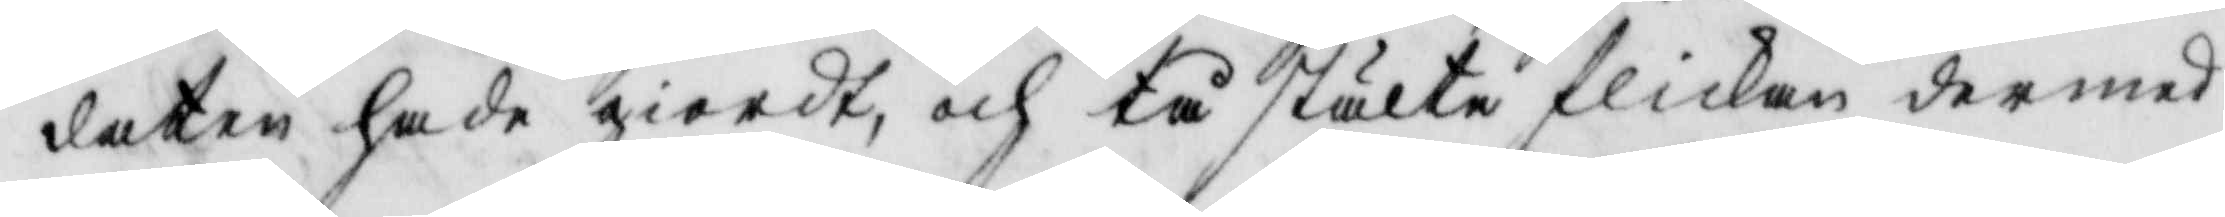daten hade giordt, och tå stälte flikan dermed
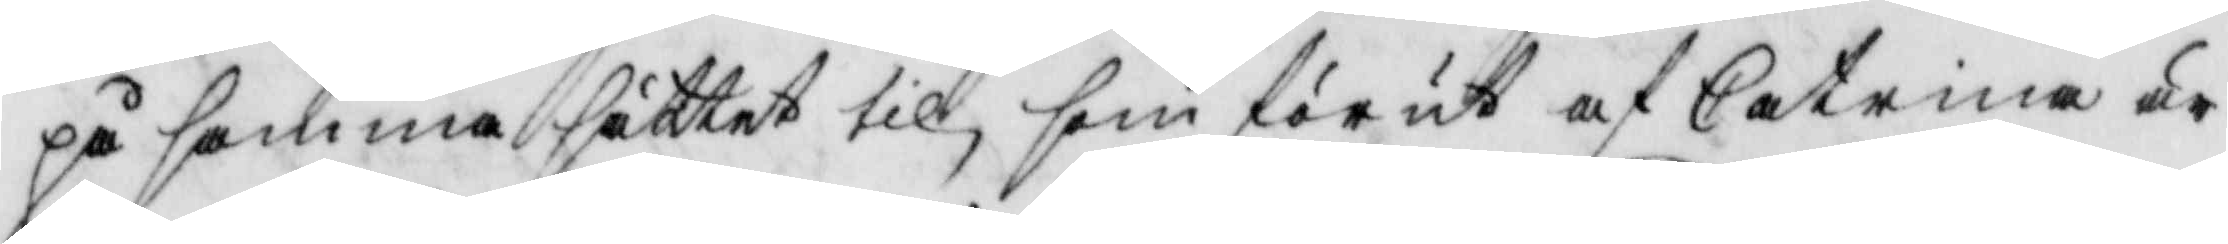på samma sätter til, som förut af Catrina är
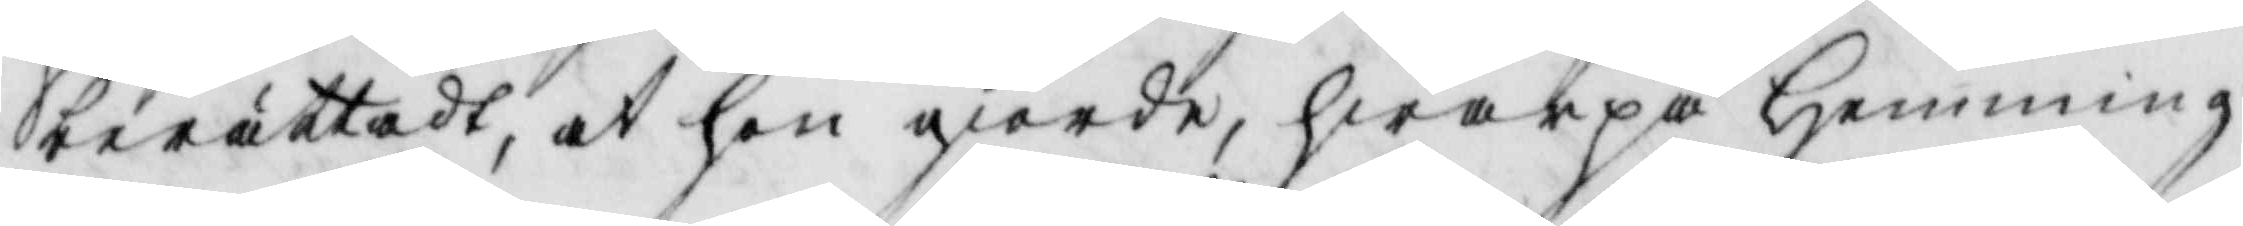berättadt, at hon giorde, hwarpå Hemming
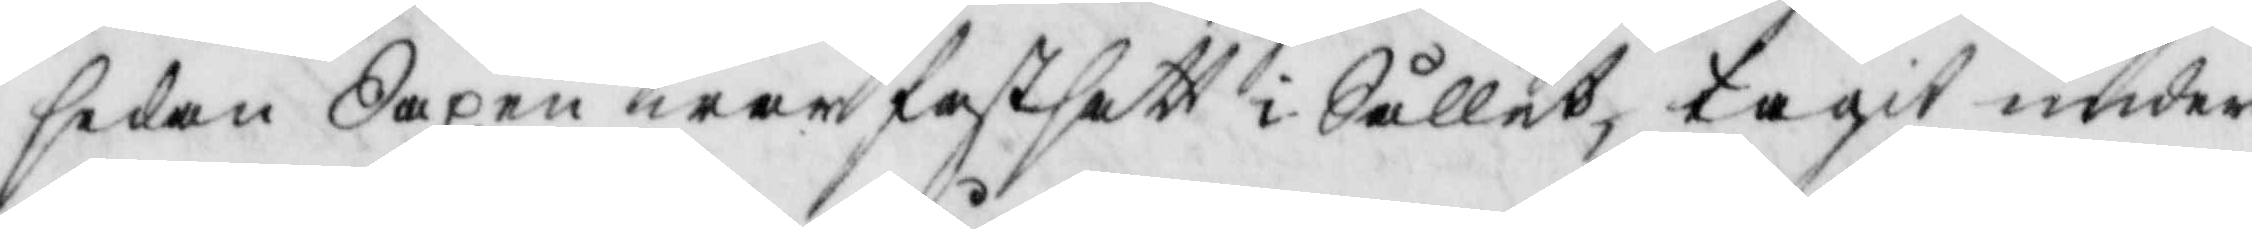sedan Saxen war fastsatt i Sållet, tagit under
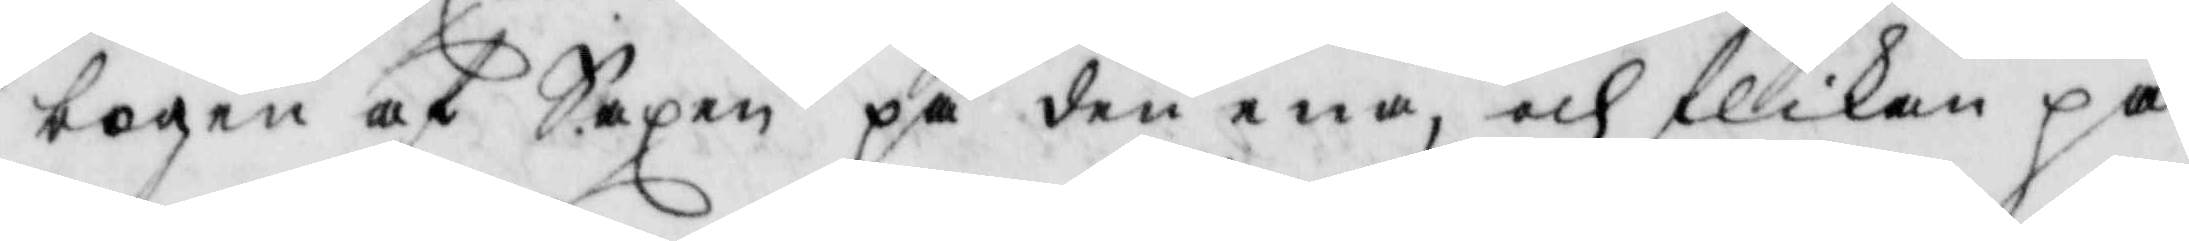bogen af Saxen på den ena, och flikan på
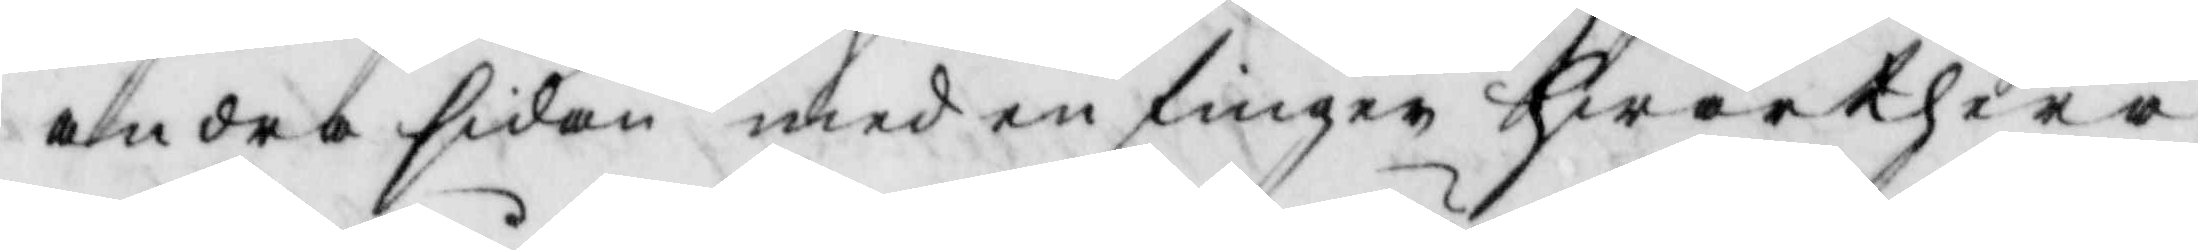andra sidan med en finger hwarthera
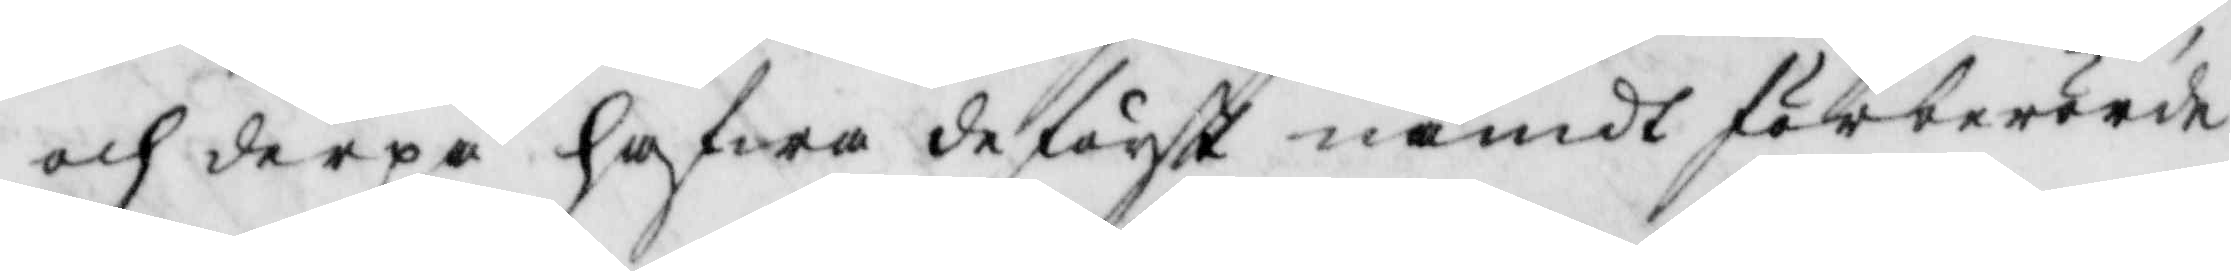och derpå hafwa de först nämdt förberörde
